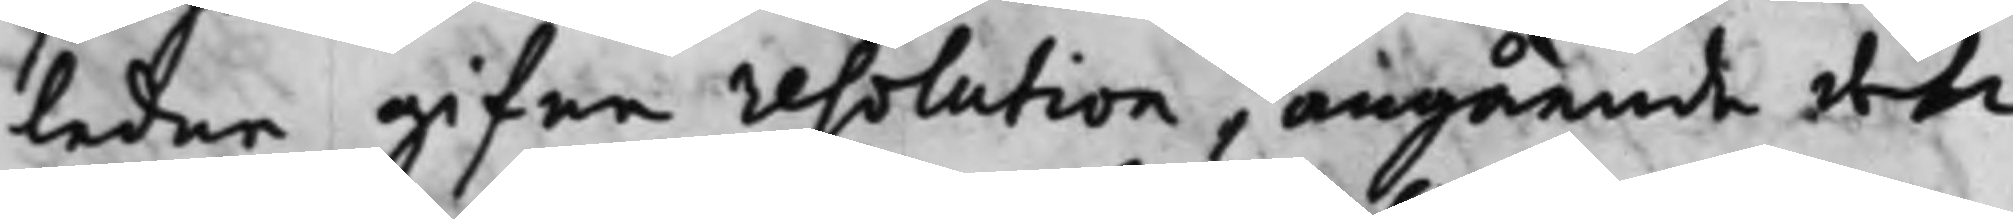ledne gifne resolution, angående den
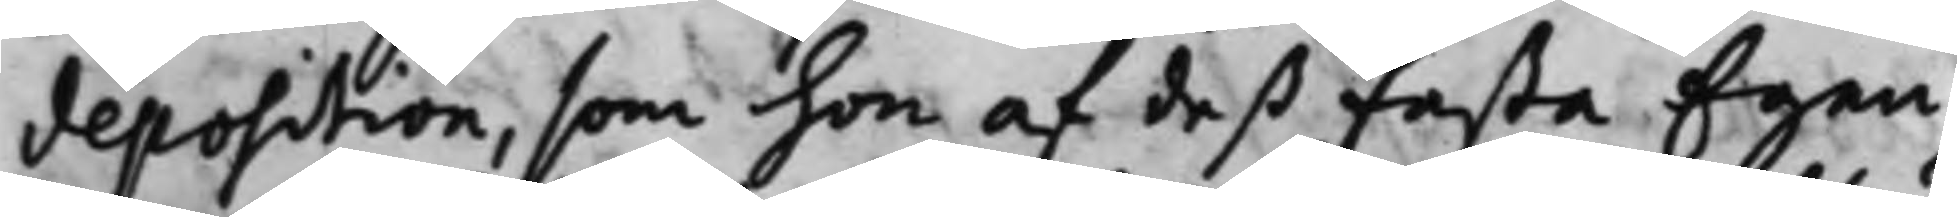deposition, som hon af deß fasta Egen¬
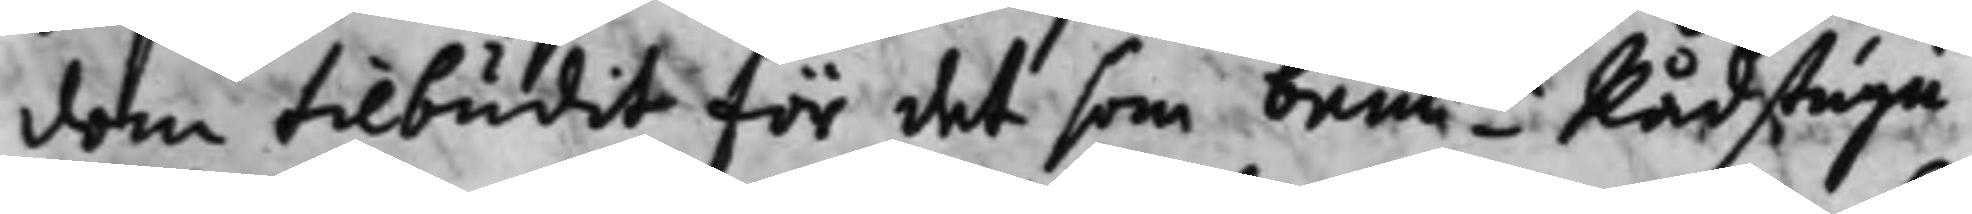dom tilbudit för det som bem.te Rådstugu¬
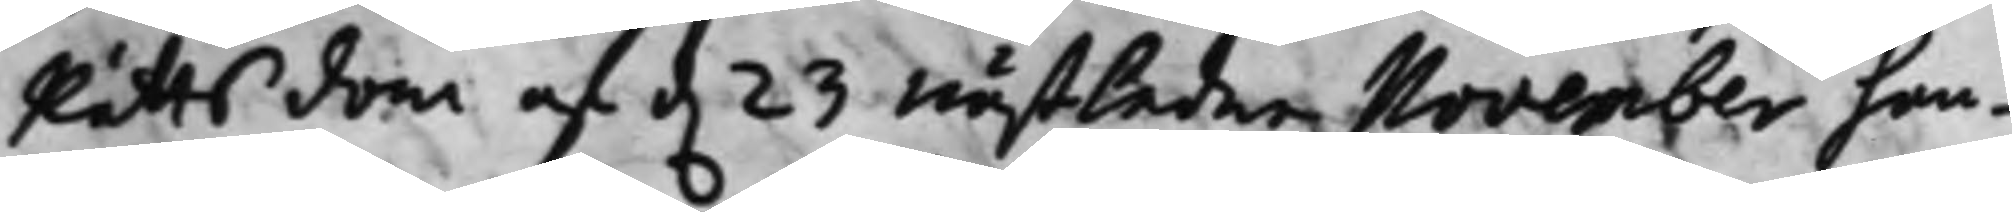Rätts dom af d. 23 nästledne November han¬
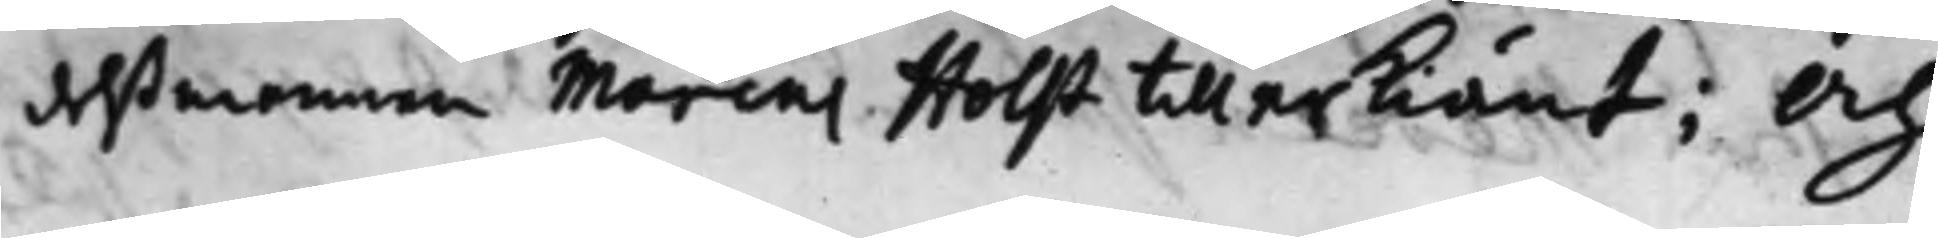delßmannen Marcus Holst tillerkiänt; Och
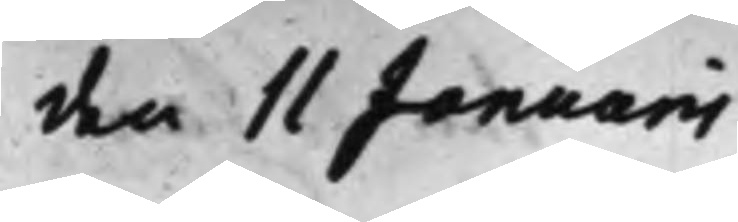den 11 Januari
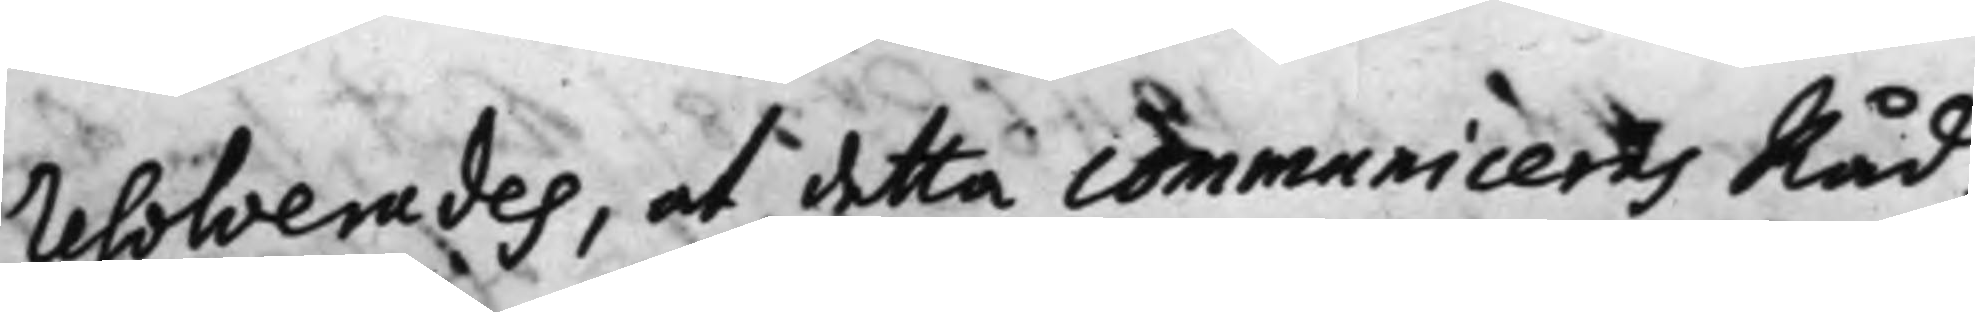resolverades, at detta communiceras Råd¬
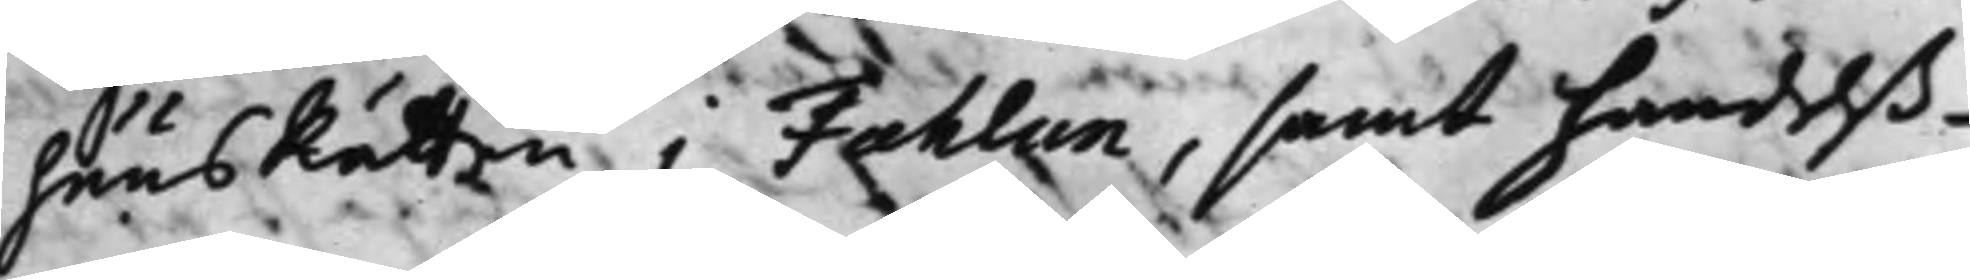huusRätten i Fahlun, samt handelß¬
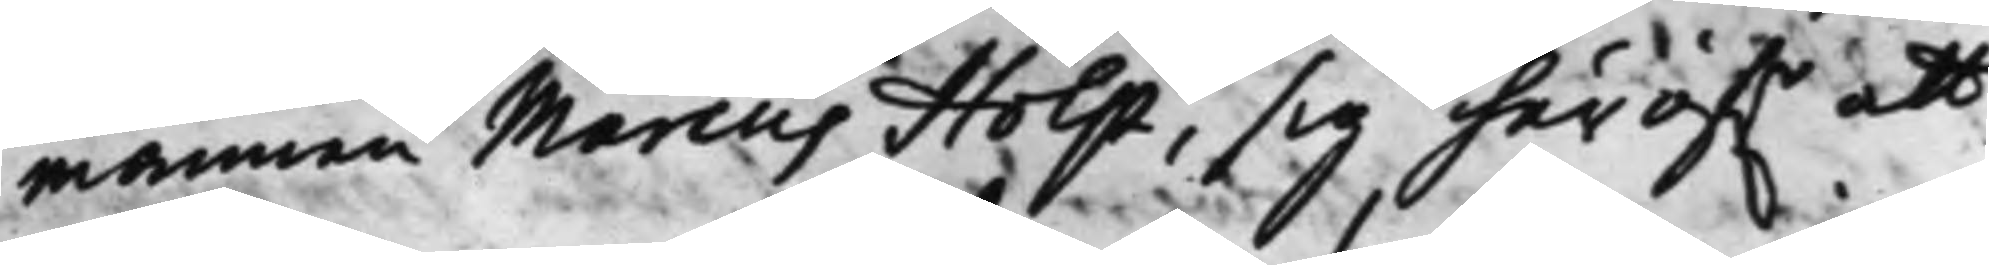mannen Marcus Holst, sig häröf.r att
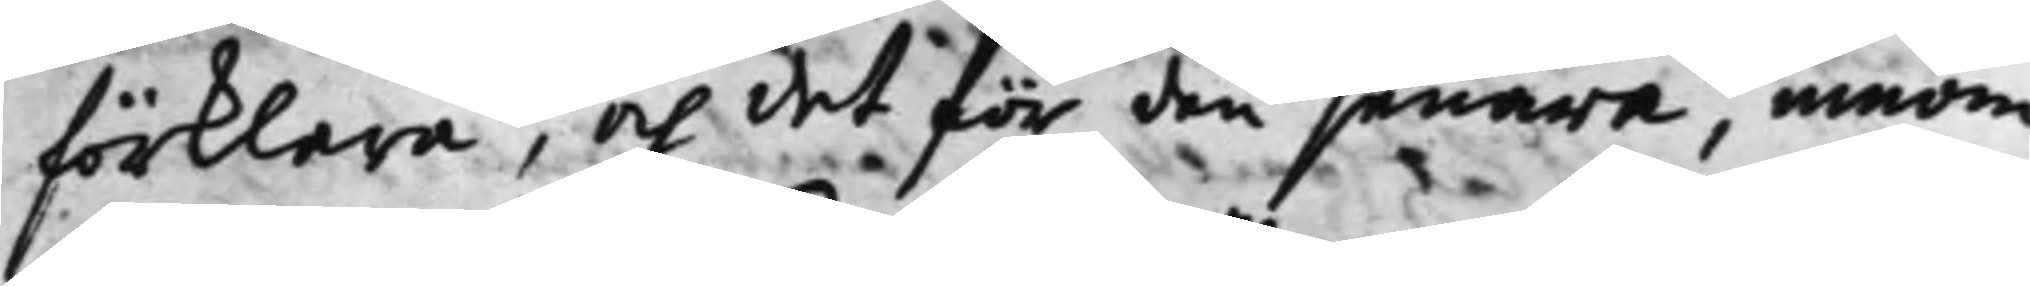förklara, och det för den senare, innom
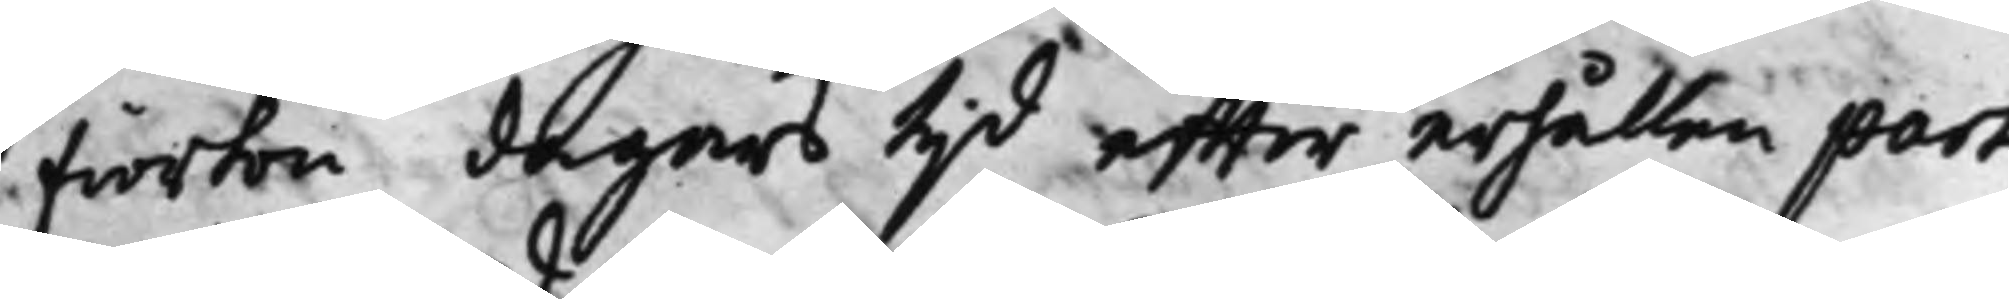fiorton dagars tijd effter erhållen part
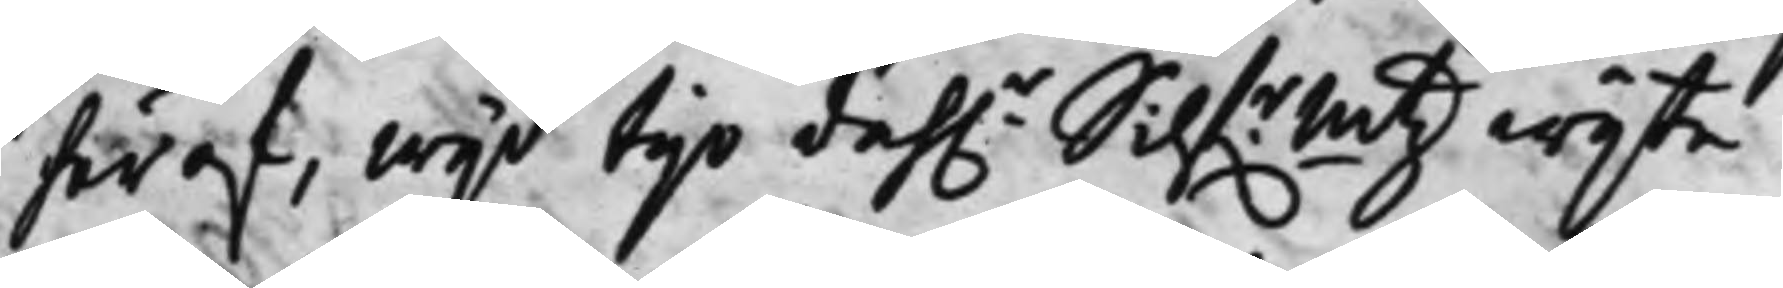häraf, wijd tijo dah.r Silf.r.mtz wijte.
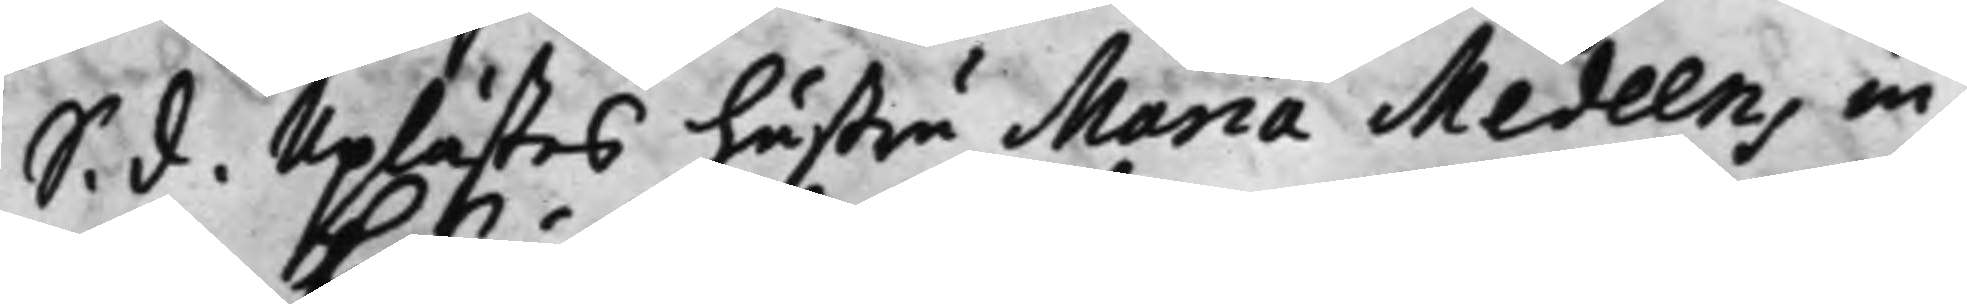S. d. Uplästes hustru Maria Medeens in¬
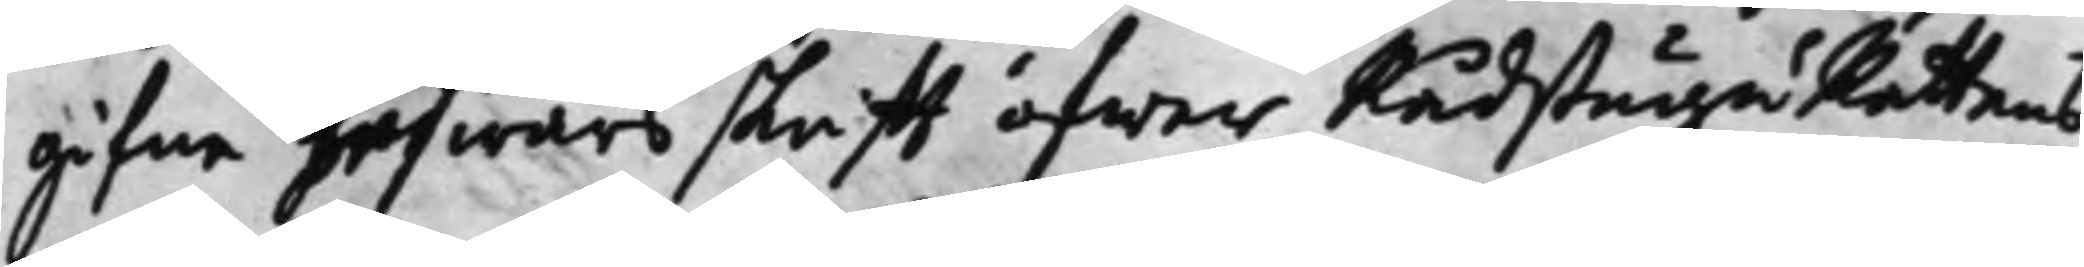gifne beswärsskrifft öfwer RådstuguRättens
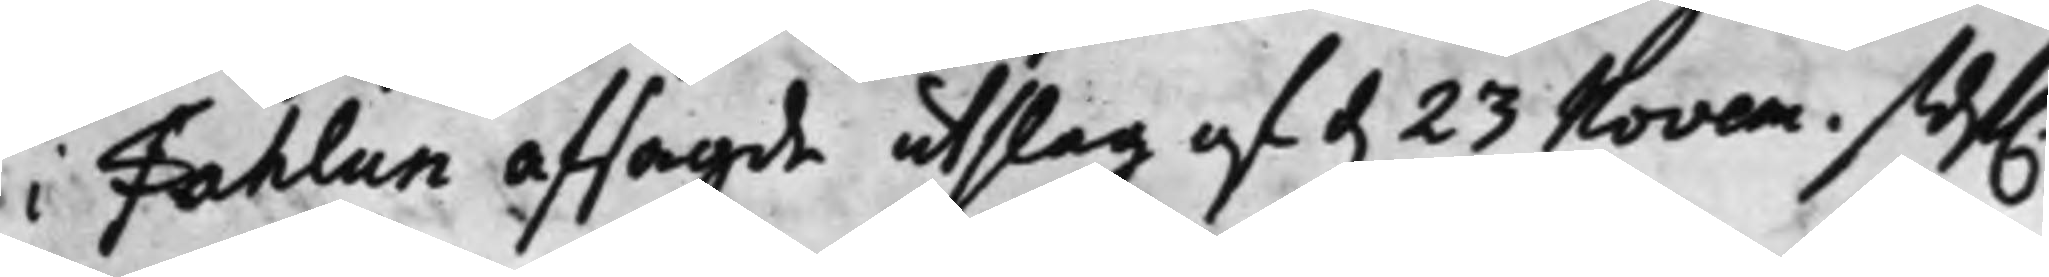i Fahlun afsagde utslag af d. 23 Novem. sidst.
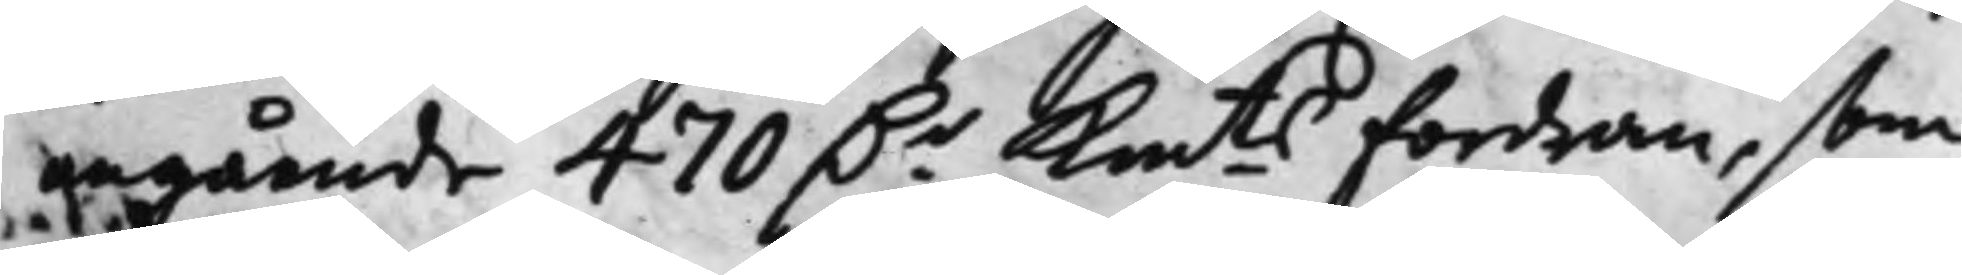angående 470 D.r Km.ts Fordran, som
